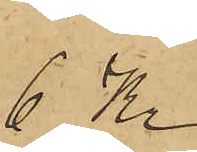6 Kr
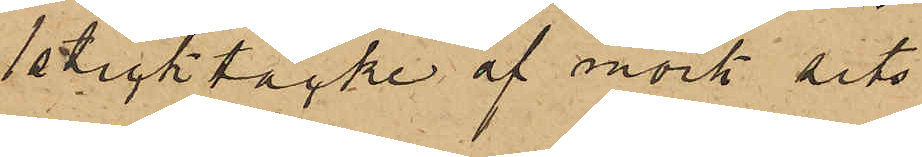1 sticktäcke af mörk sits
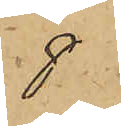8
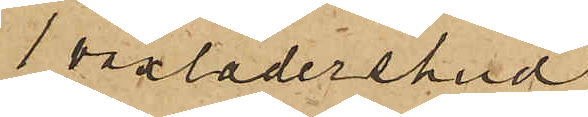1 vaxlädershud
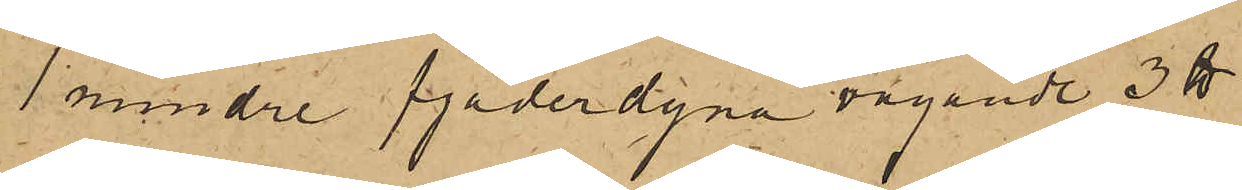1 mindre fjäderdyna vägande 3 ℔
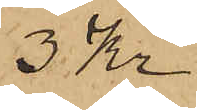3 Kr
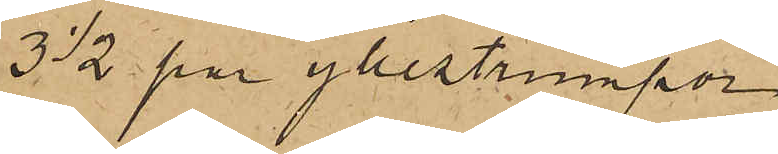3 1/2 par yllestrumpor
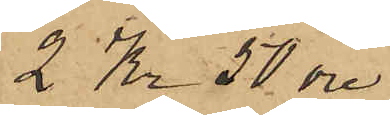2 Kr 50 öre
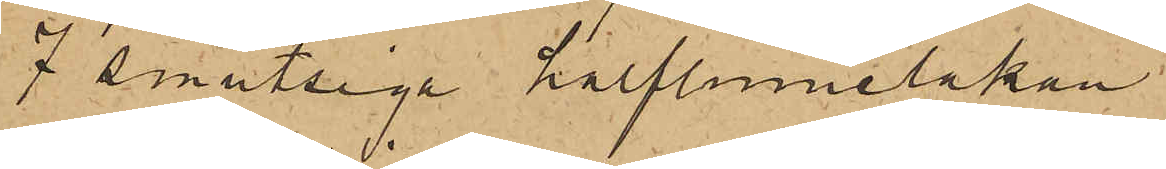7 smutsiga halflinnelakan
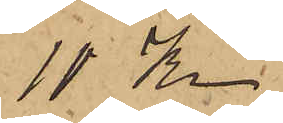10 Kr.
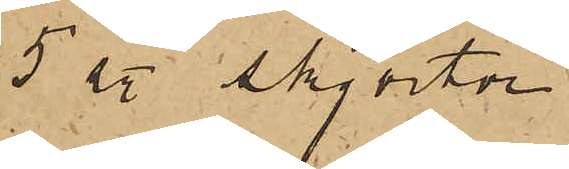5 st skjortor
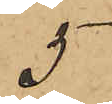5
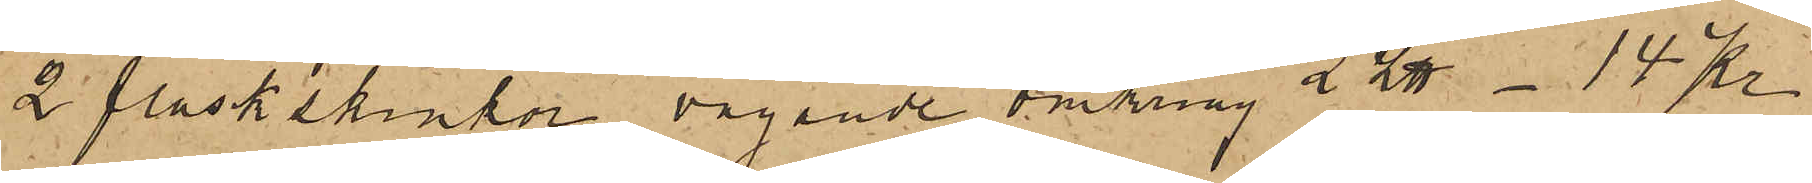2 fläskskinkor vägande omkring 2 L℔ - 14 Kr
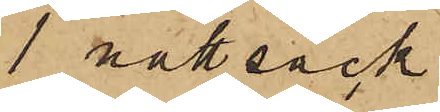1 nattsäck
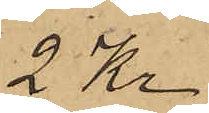2 Kr.
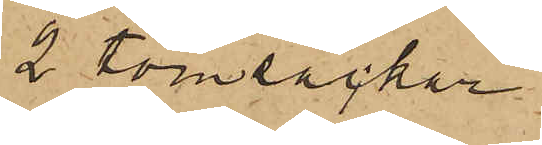2 tomsäckar
